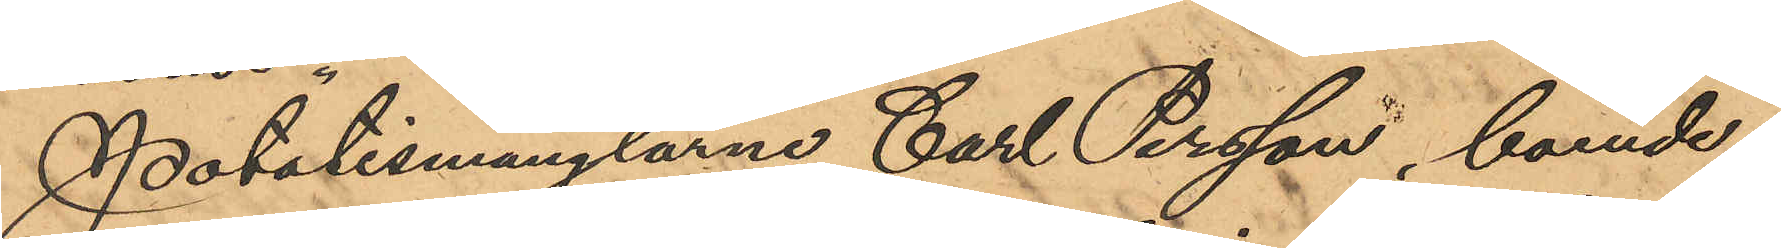Potatismånglarne Carl Persson, boende
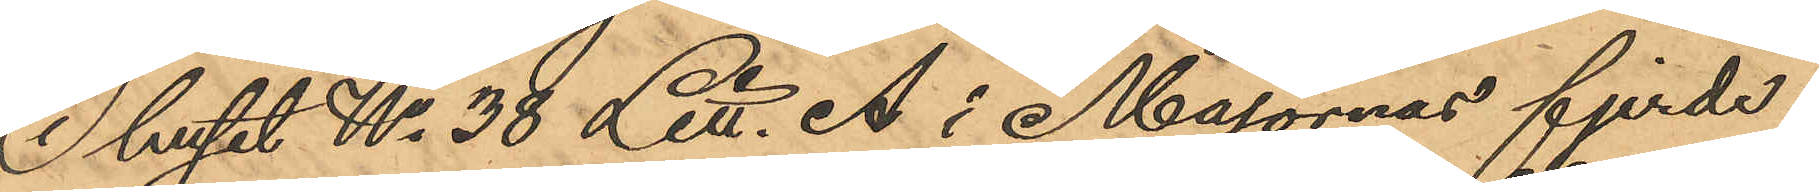i huset No 38 Litt. A i Majornas fjerde
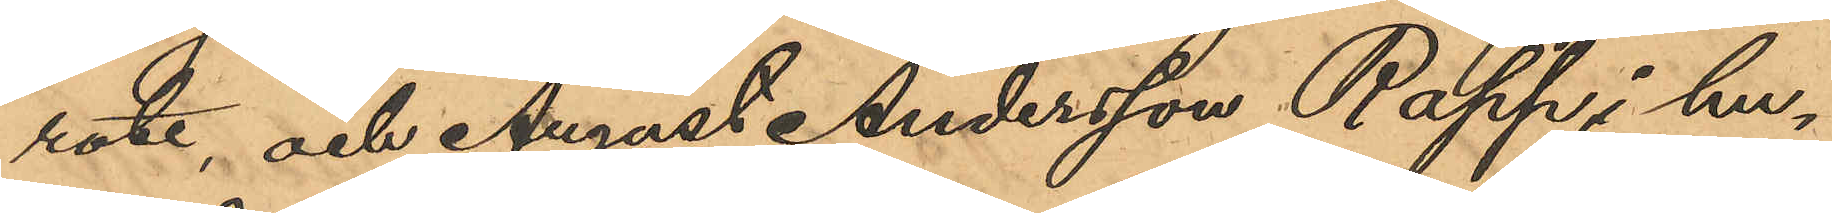rote, och August Andersson Rapp, i hu¬
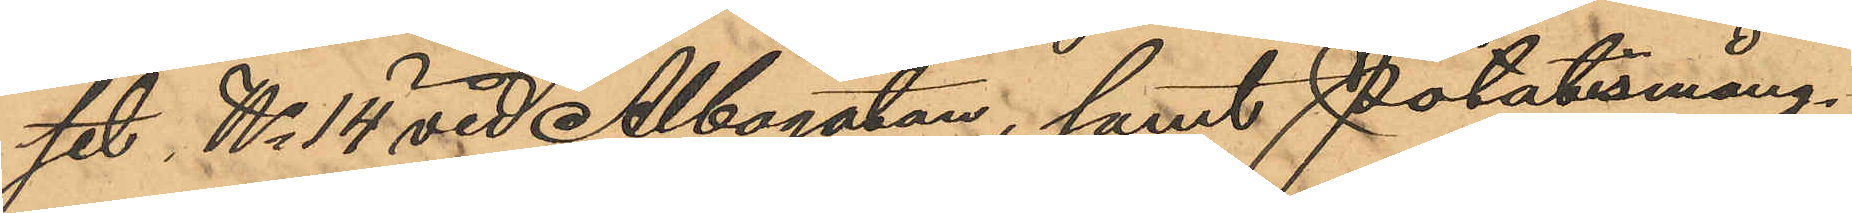set No 14 vid Albogatan, samt Potatismång¬
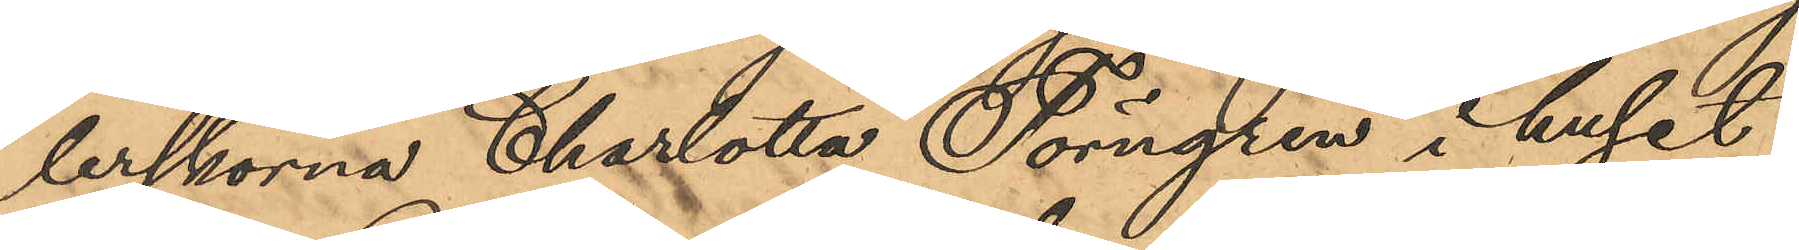lerskorna Charlotta Törngren i huset
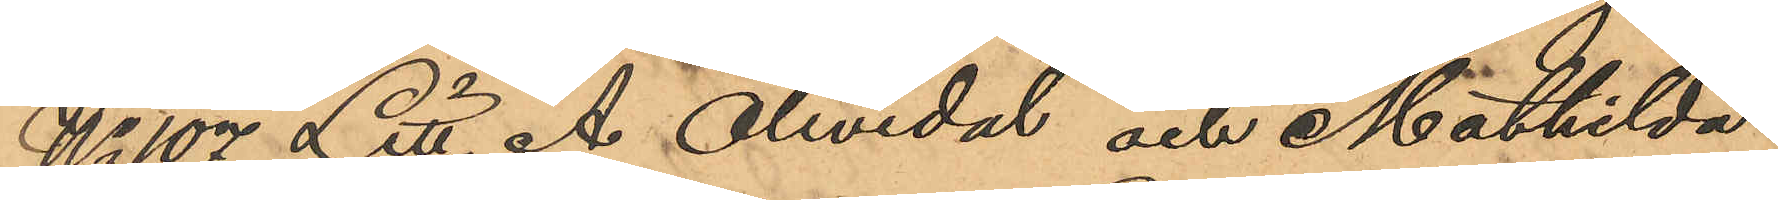No 107 Litt. A Olivedal och Mathilda
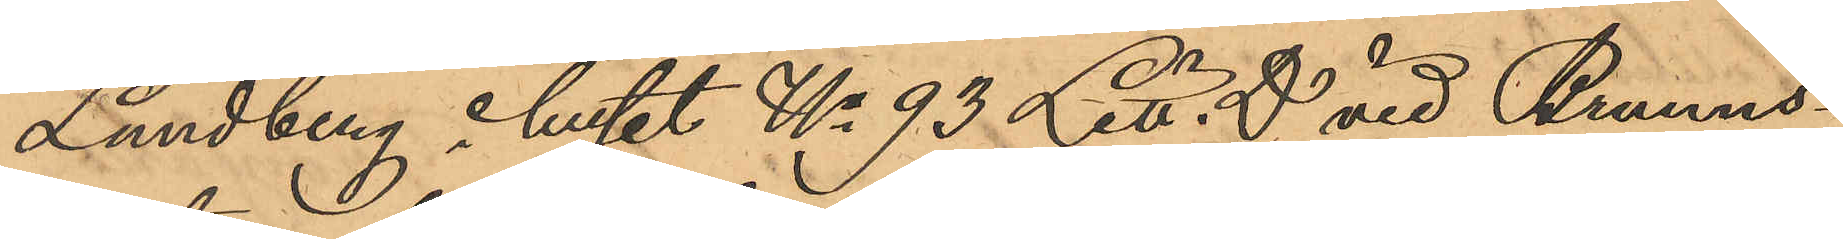Lundberg i huset No 93 Litt. D vid Brunns¬
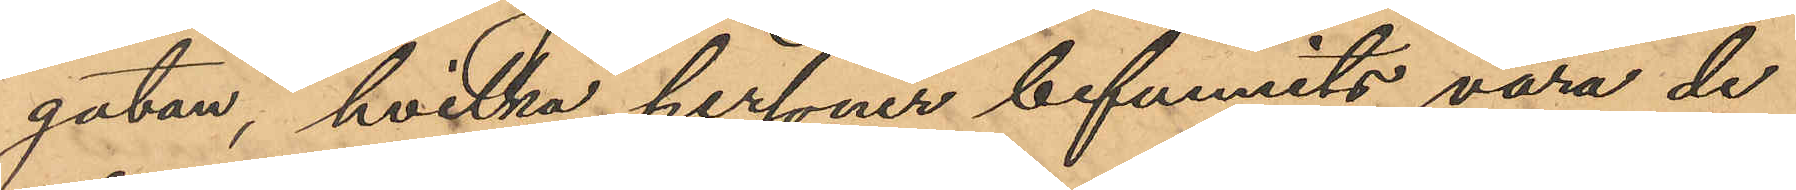gatan, hvilka personer befunnits vara de
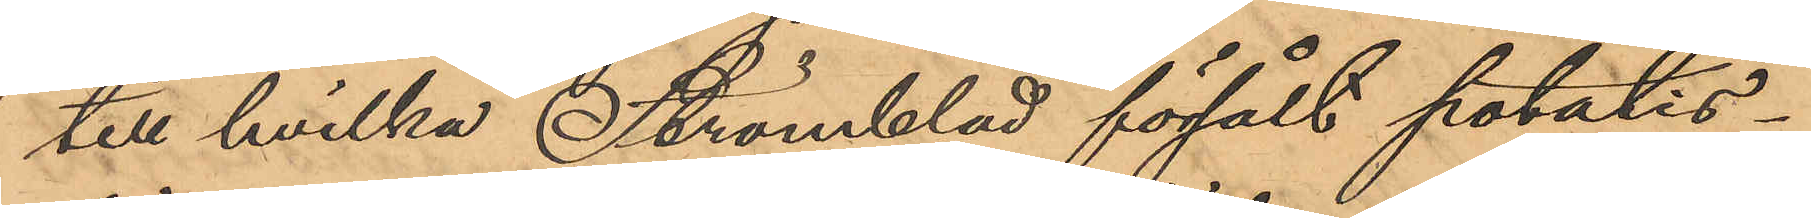till hvilka Strömblad försålt potatis¬
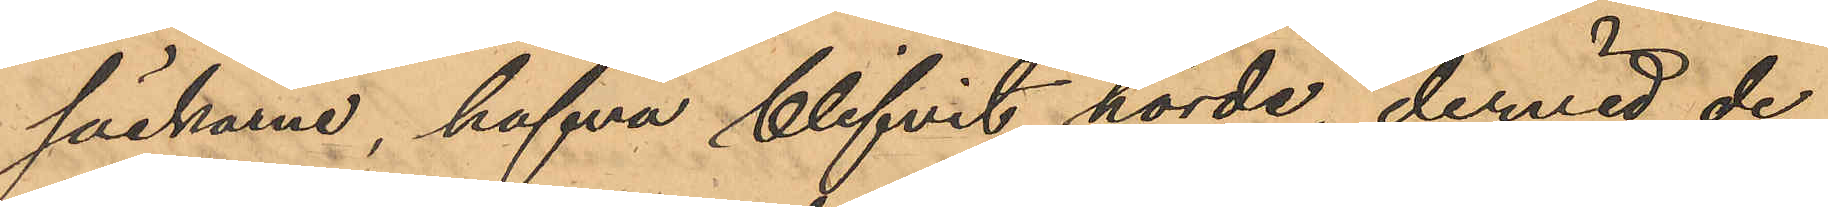säckarne, hafva blifvit hörde, dervid de
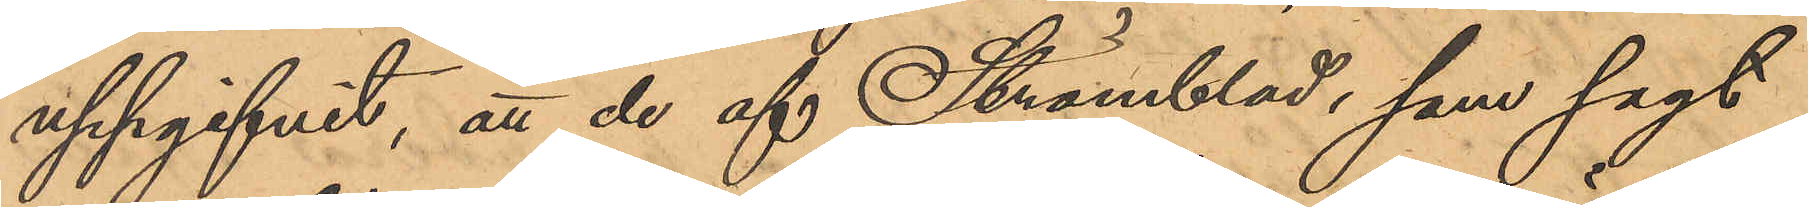uppgifvit, att de af Strömblad, som sagt
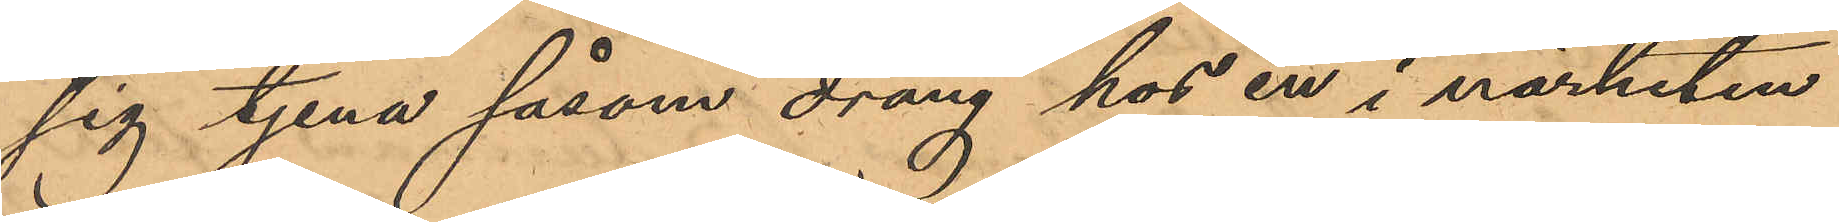sig tjena såsom dräng hos en i närheten
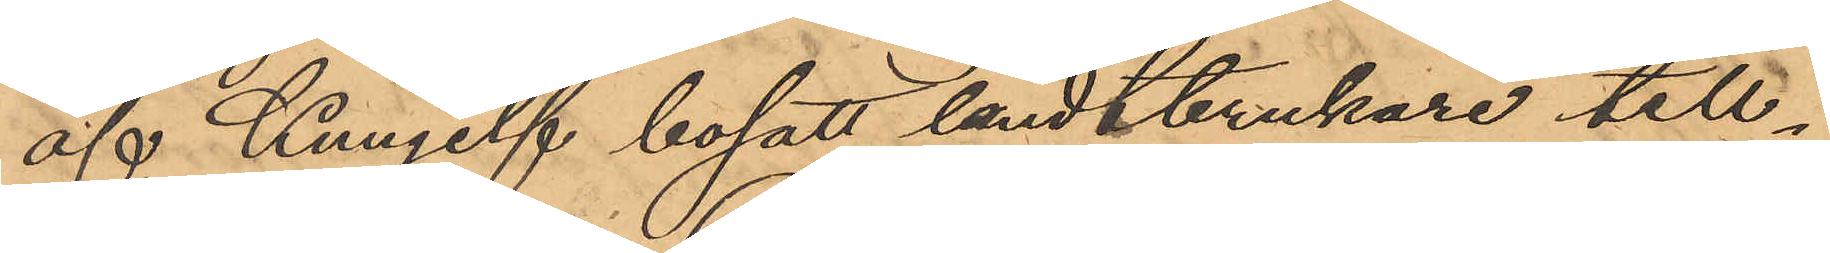af Kungelf bosatt landtbrukare till¬
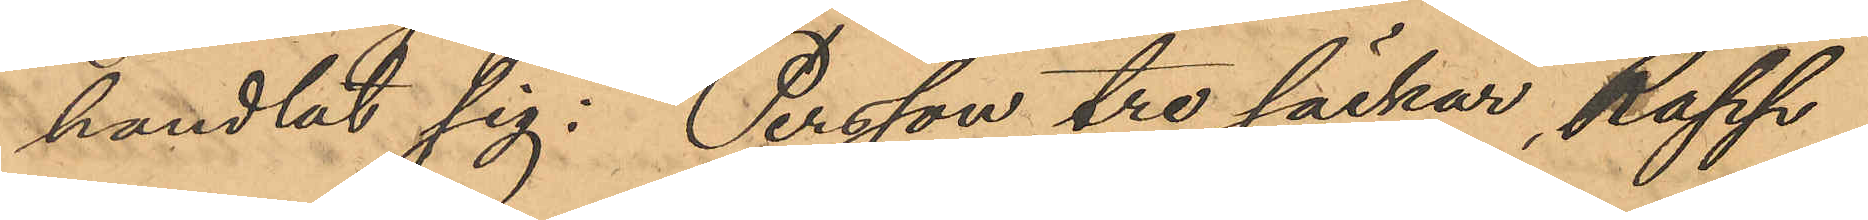handlat sig: Persson tre säckar, Rapp
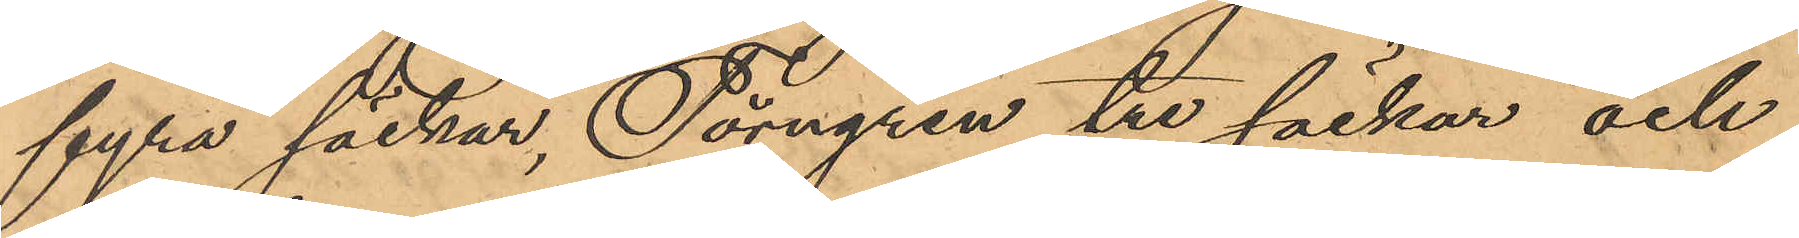fyra säckar, Törngren tre säckar och
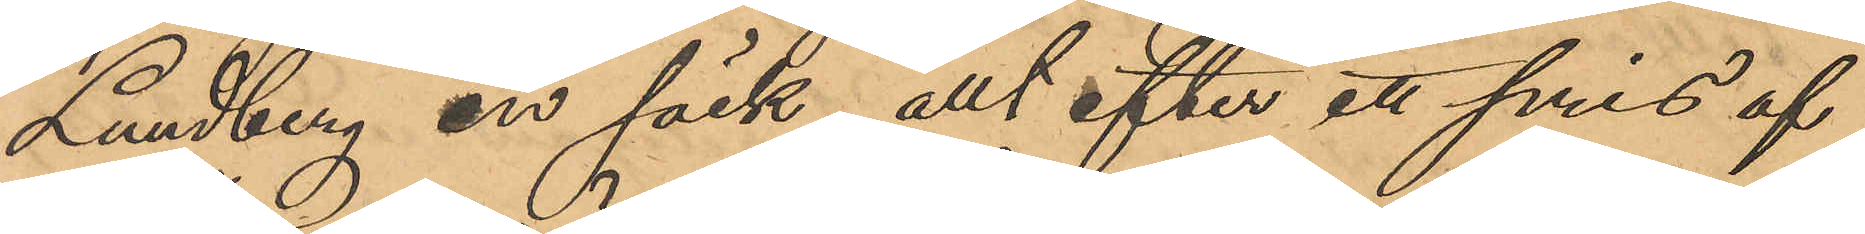Lundberg en säck, allt efter ett pris af
